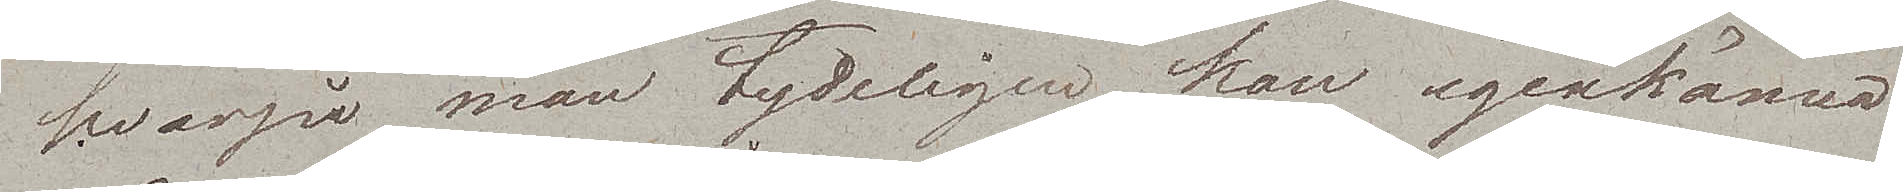hvarpå man tydeligen kan igenkänna
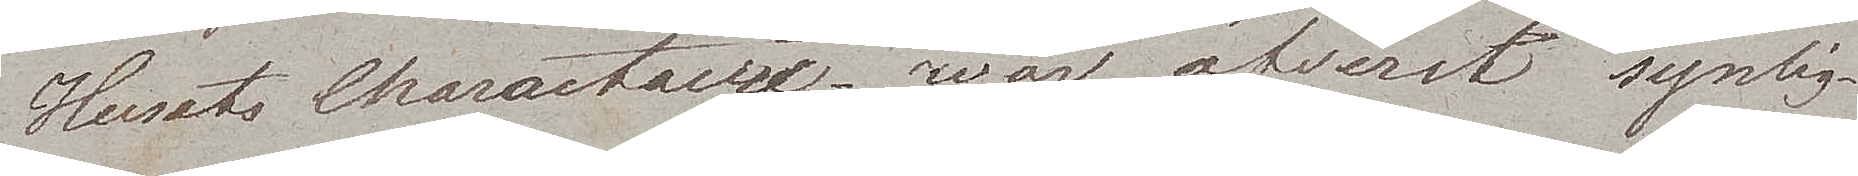Husets Charactaire – war öfverst synlig –
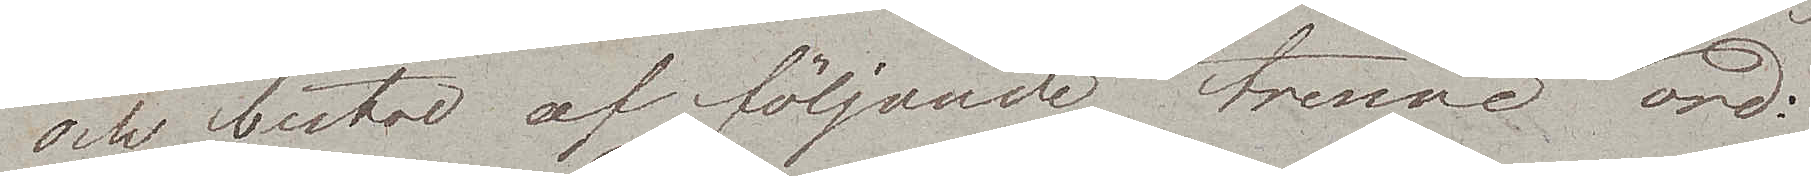och bestod af följande trenne ord:.
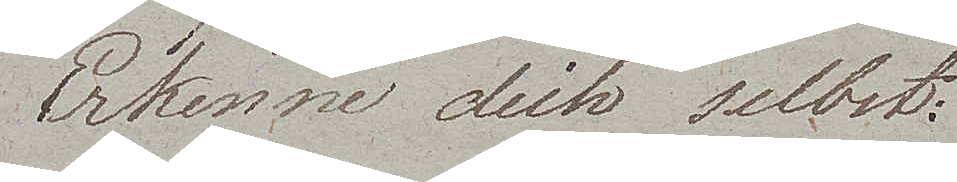Erkenne dich selbst:
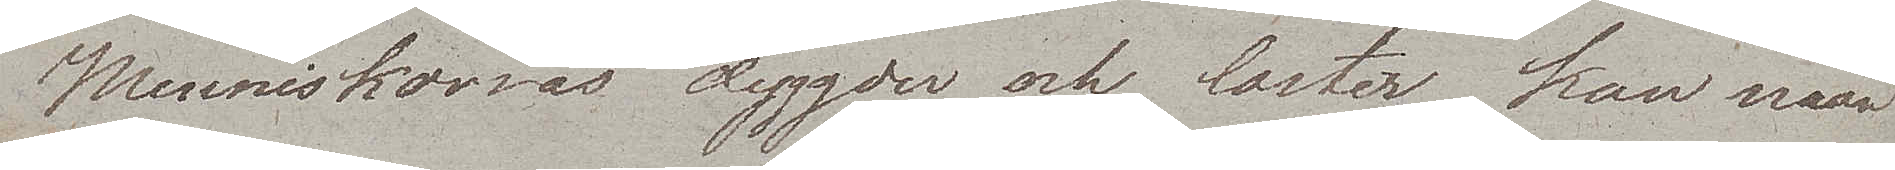Menniskornas dygder och laster kan man
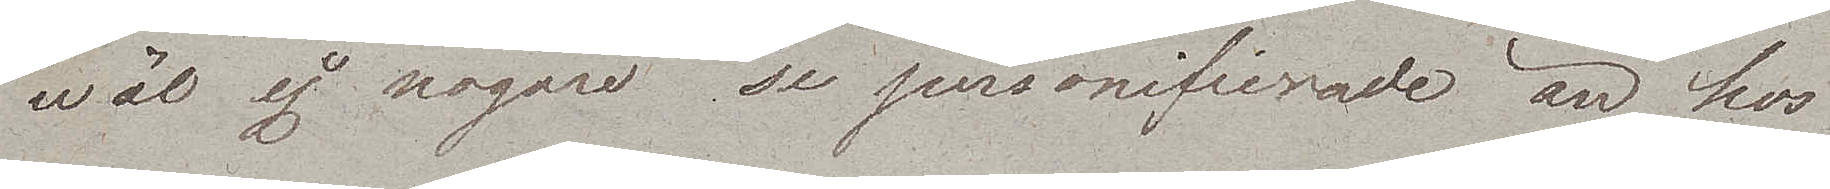wäl ej nogare se personifierade än hos
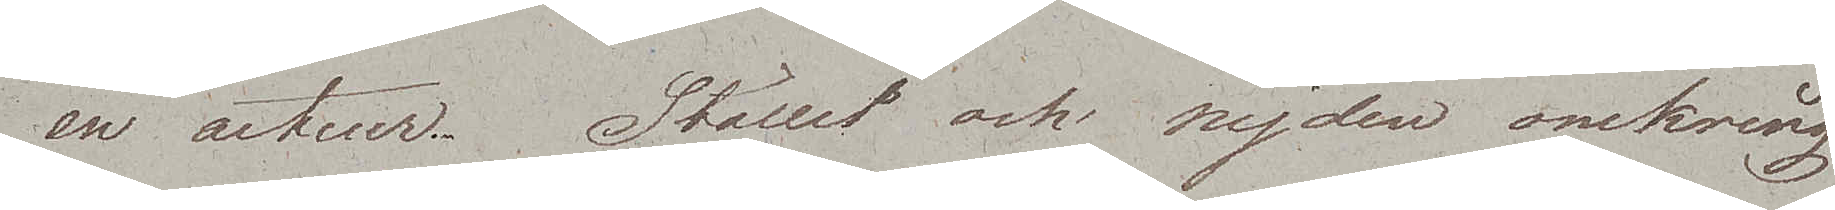en acteur. Stället och nejden omkring
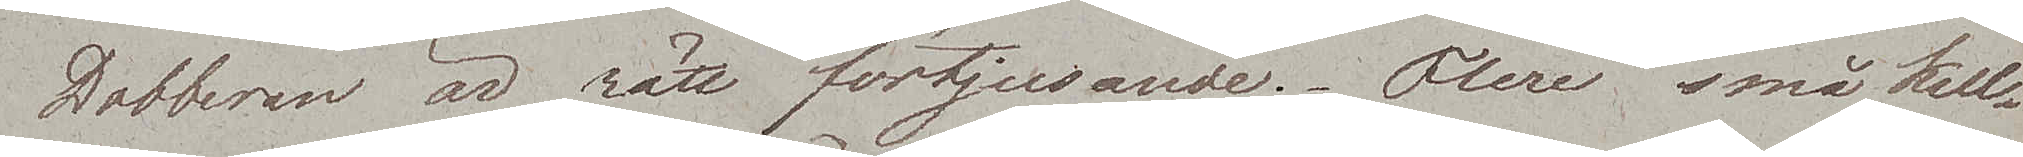Dobberan är rätt förtjusande. Flere små kul¬
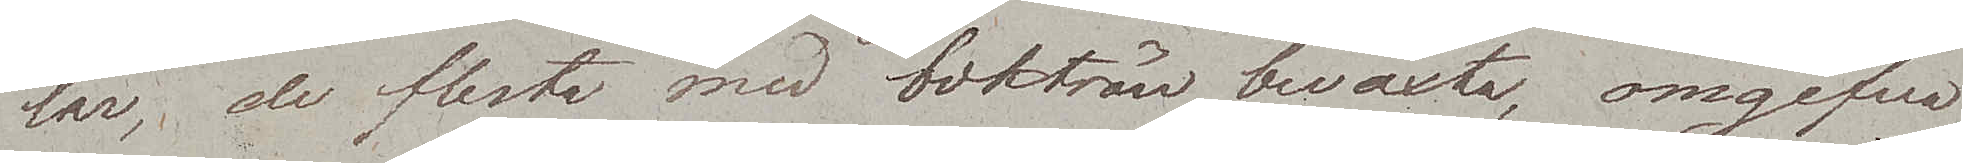lar, de flesta med bokträn beväxta, omgifva
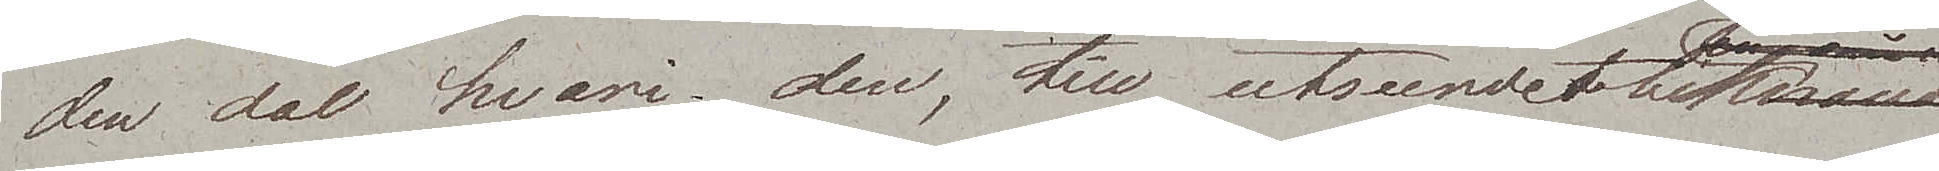den dal hvari den, till utseendet liknande
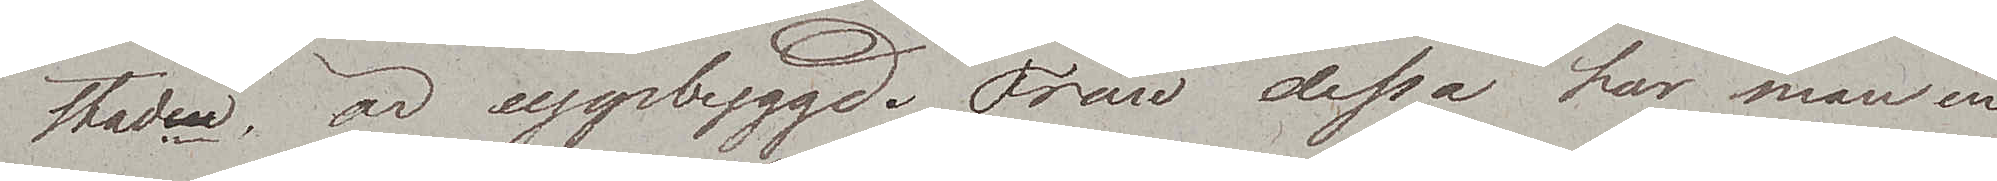staden, är uppbyggd. Från dessa har man en
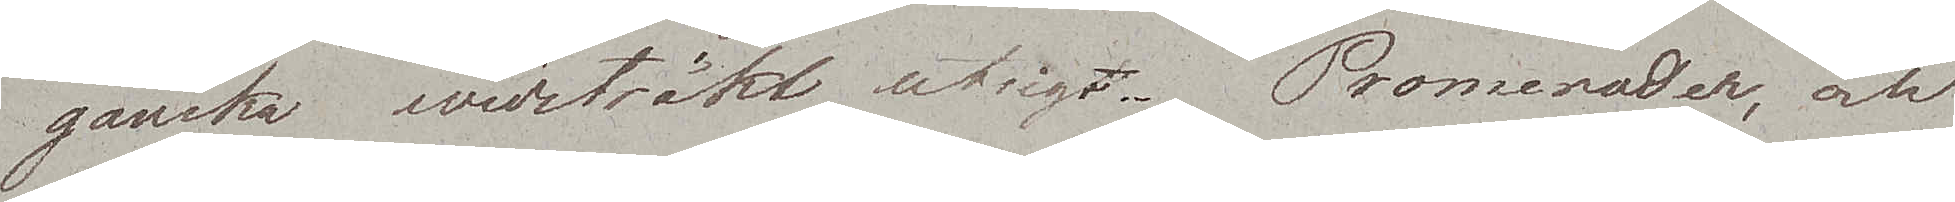ganska widsträkt utsigt. Promerader, och
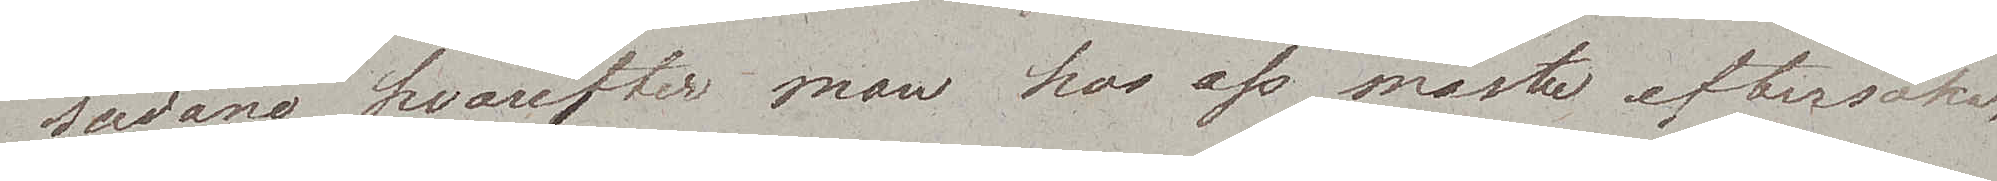sådane hvarefter man hos oss måste eftersöka,
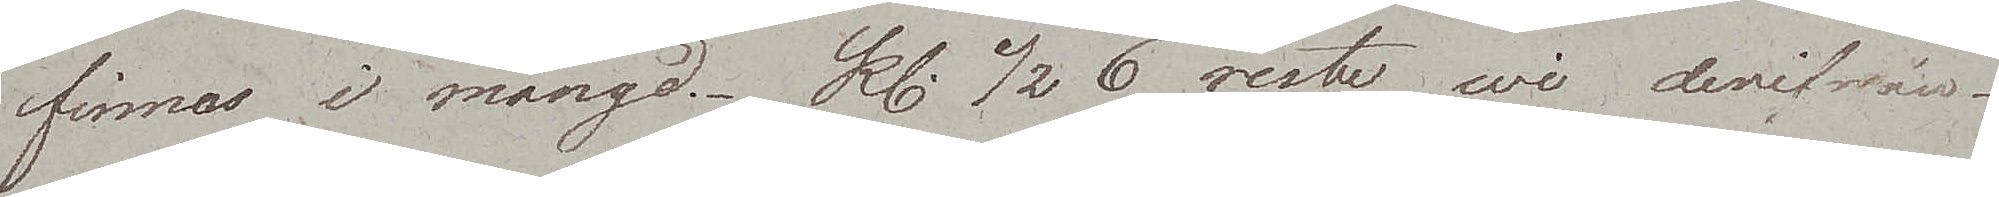finnes i mängd. Kl. ½6 reste wi derifrån.
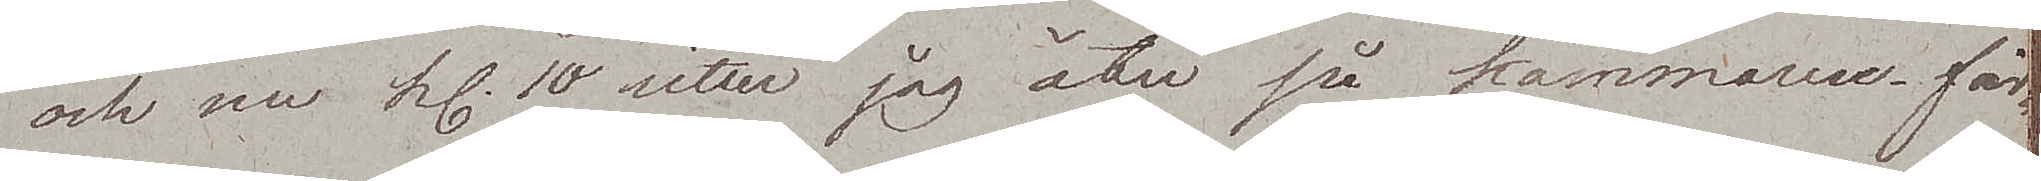och nu kl. 10 sitter jag åter på kammaren, fär¬
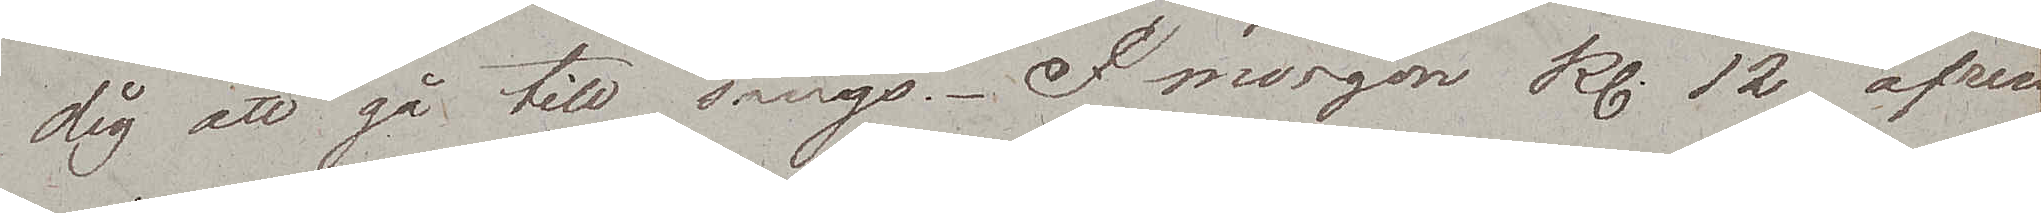dig att gå till sängs. I morgon kl. 12 afresa
